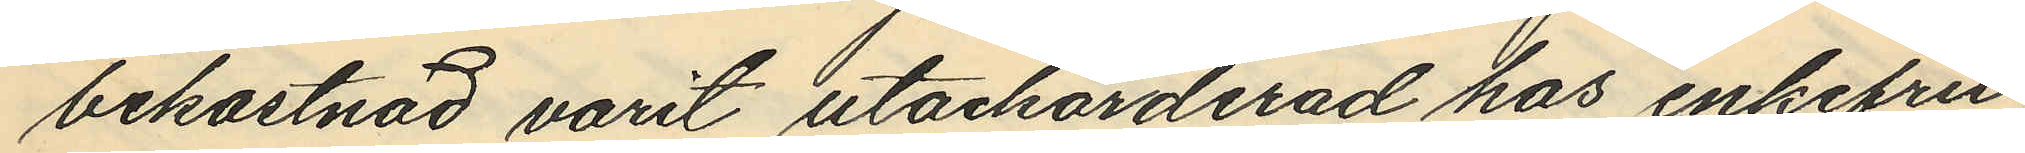bekostnad varit utackorderad hos enkefru
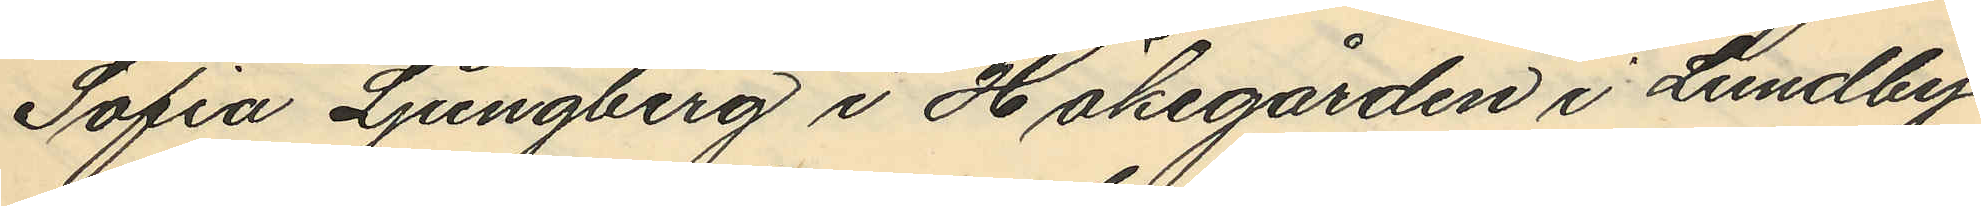Sofia Ljungberg i Hökegården i Lundby
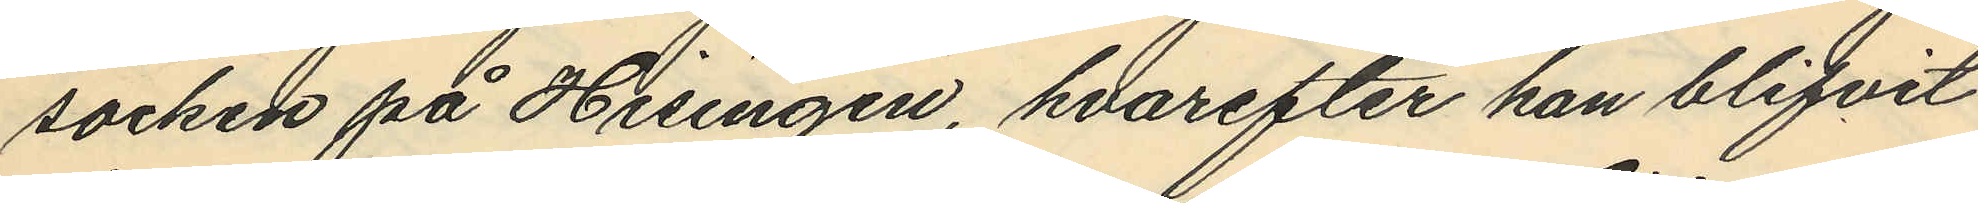socken på Hisingen, hvarefter han blifvit
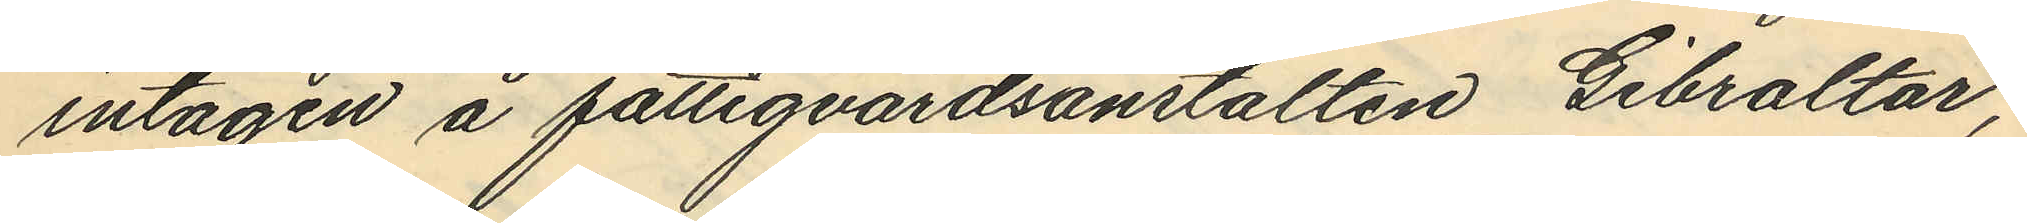intagen å fattigvårdsanstalten Gibraltar;
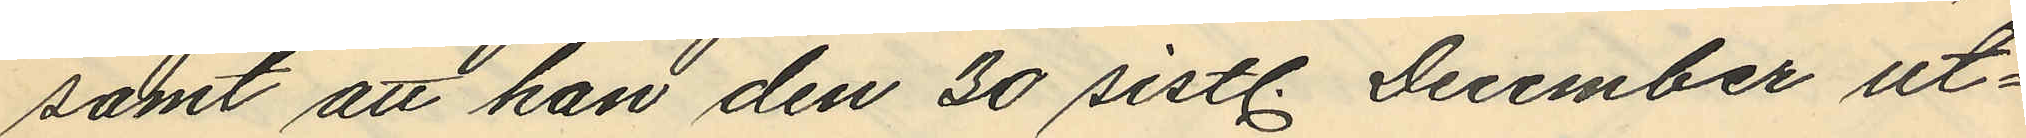samt att han den 30 sistl. December ut¬
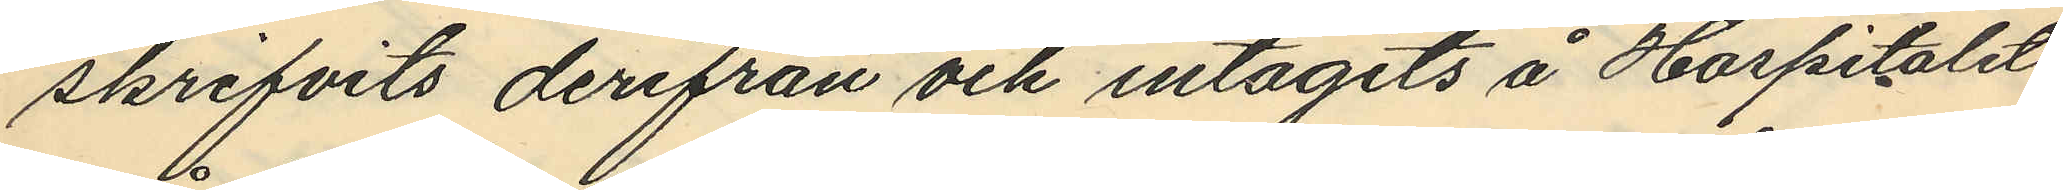skrifvits derifrån och intagits å Hospitalet
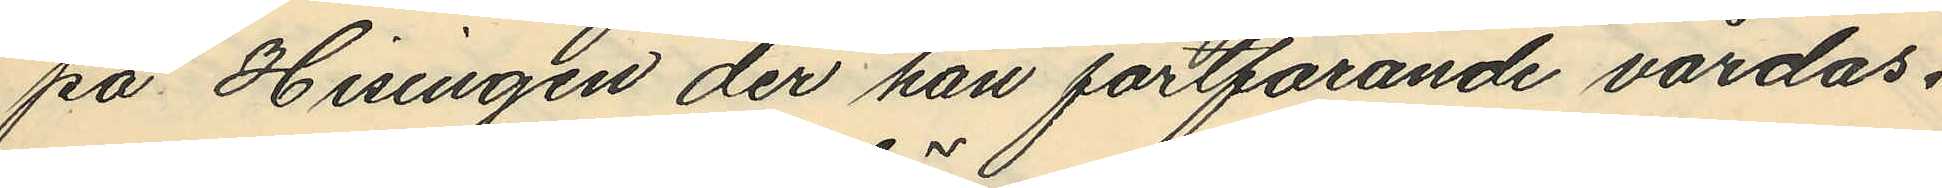på Hisingen der han fortfarande vårdas.
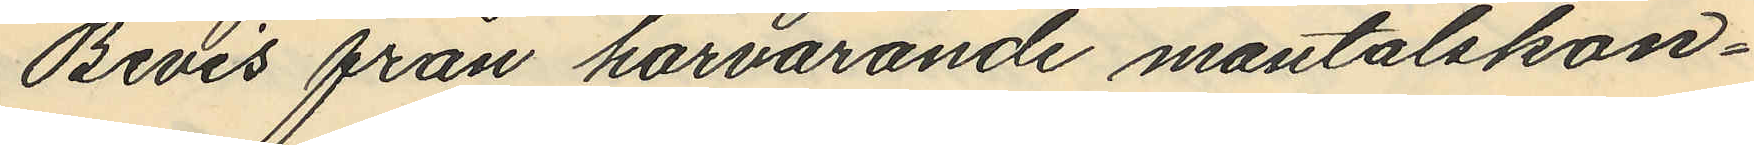Bevis från härvarande mantalskon¬
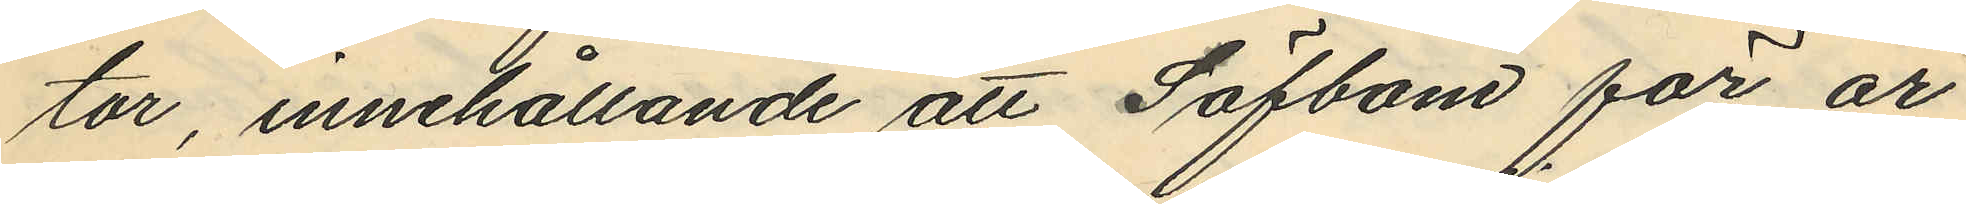tor, innehållande att Säfbom för år
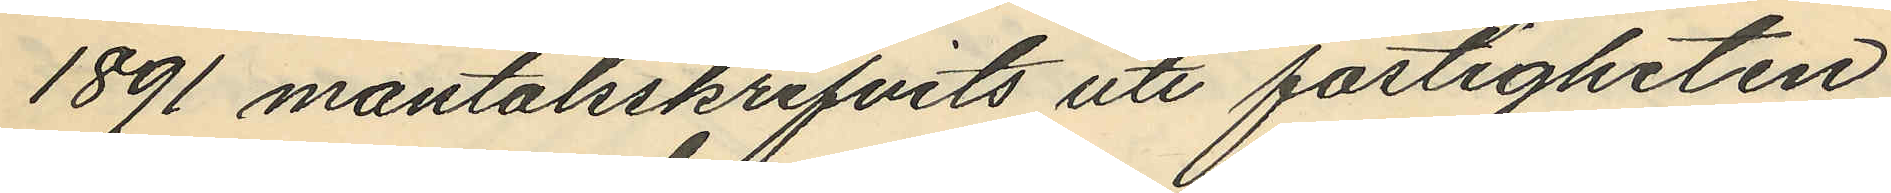1891 mantalsskrifvits uti fastigheten
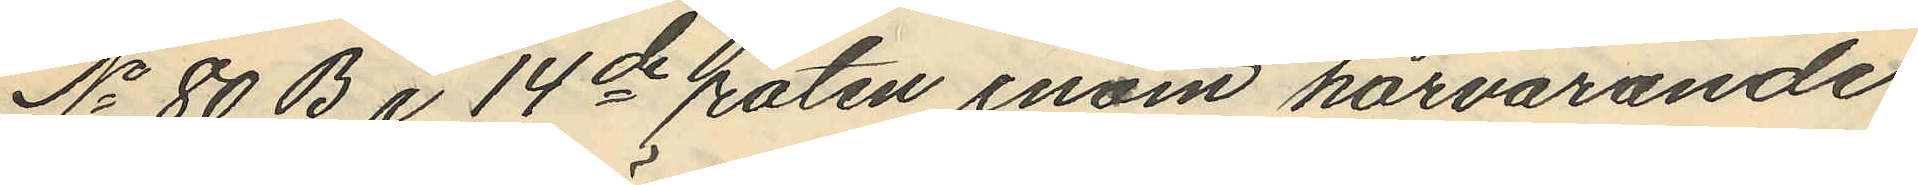No 80 B i 14de roten inom härvarande
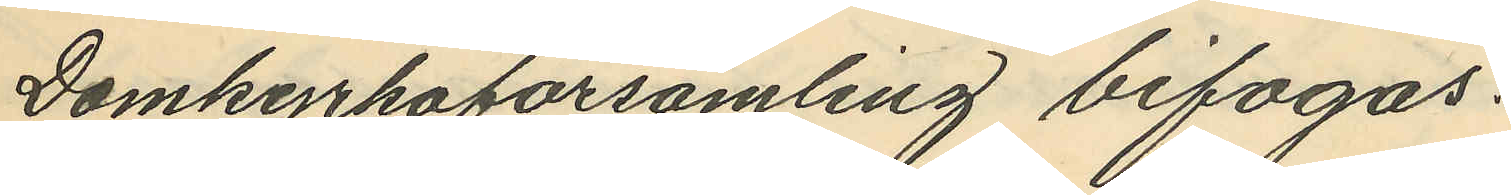Domkyrkoförsamling bifogas.
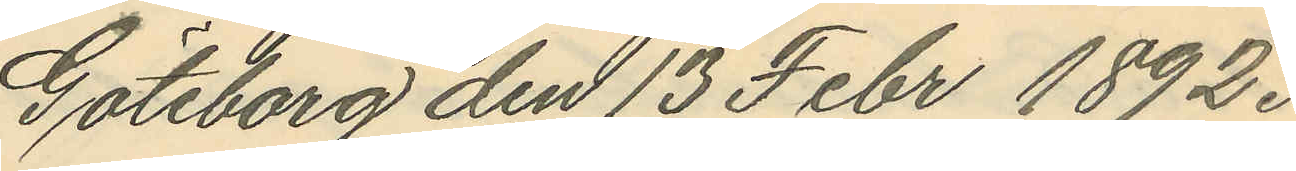Göteborg den 13 Febr 1892.
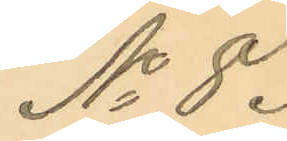No 8.
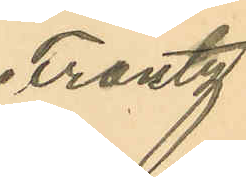Frantz
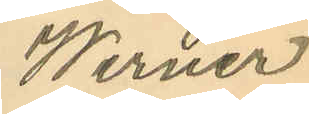Werner
